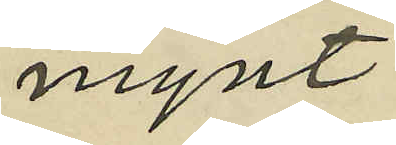mynt;
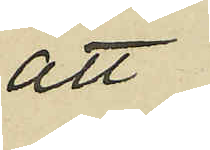att
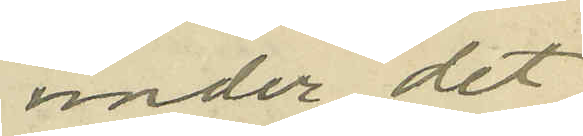under det
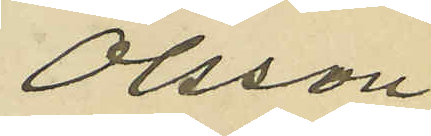Olsson
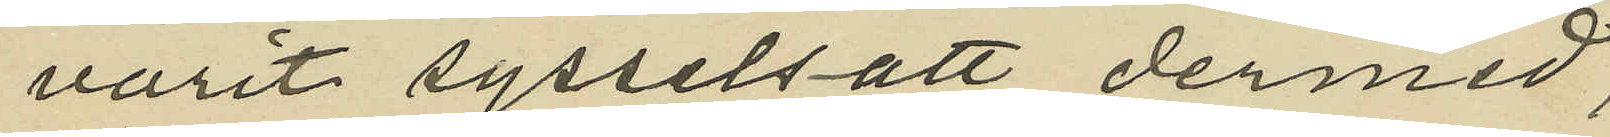varit sysselsatt dermed,
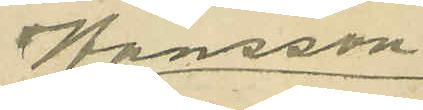Hansson
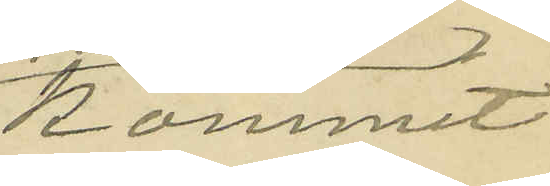kommit
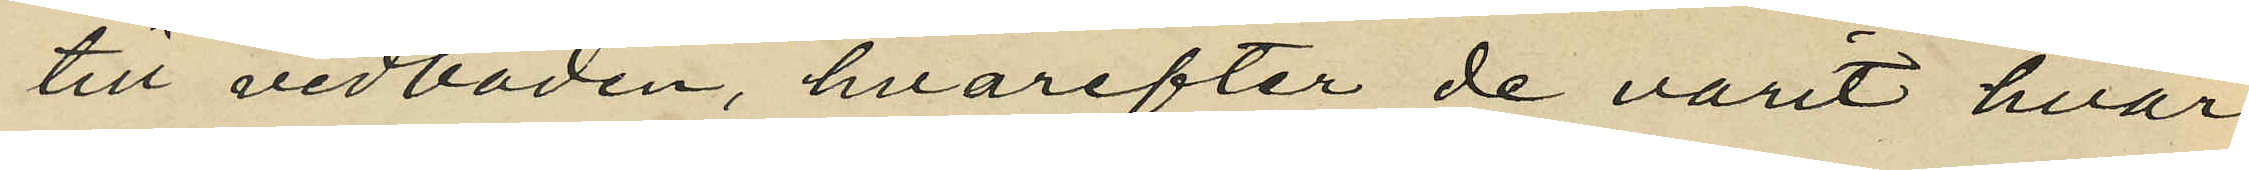till vedboden, hvarefter de varit hvar
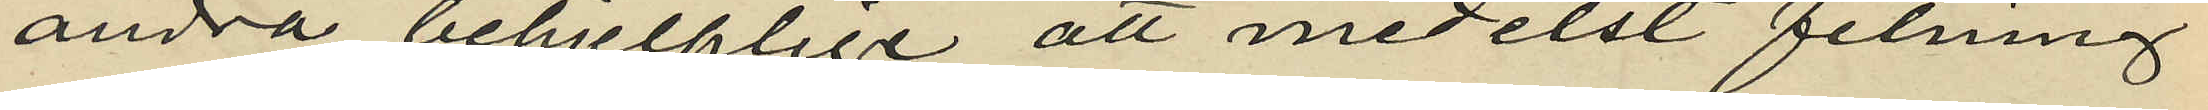andra behjelplige att medelst filning
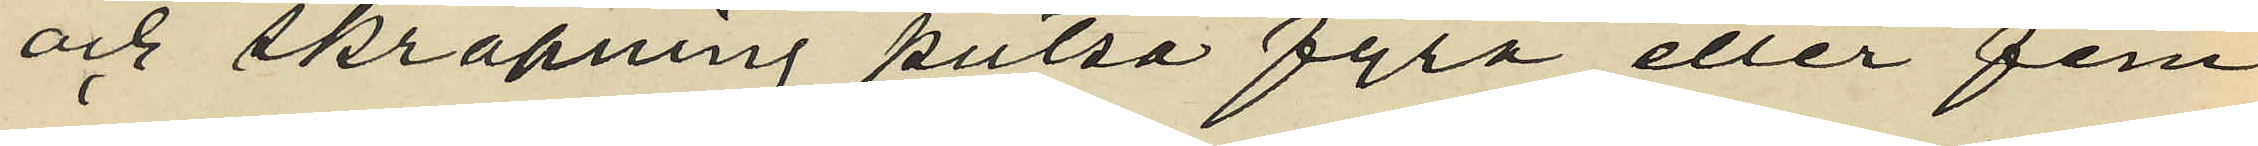och skrapning putsa fyra eller fem
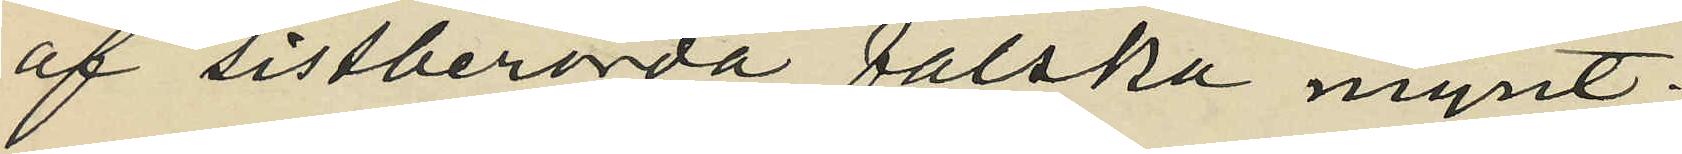af sistberörda falska mynt;
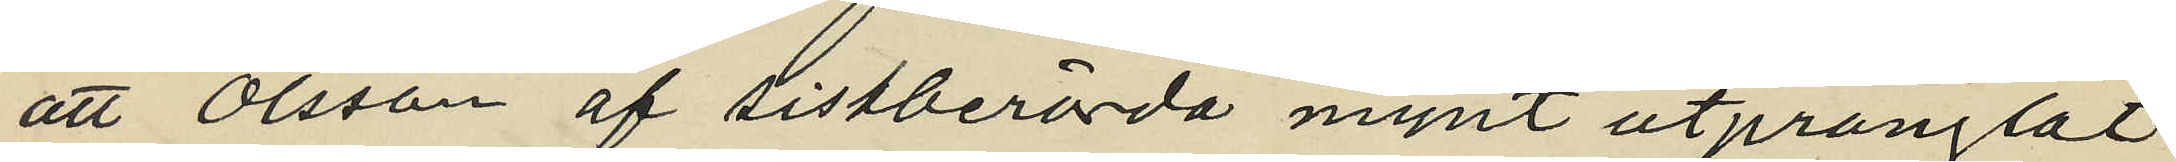att Olsson af sistberörda mynt utprånglat
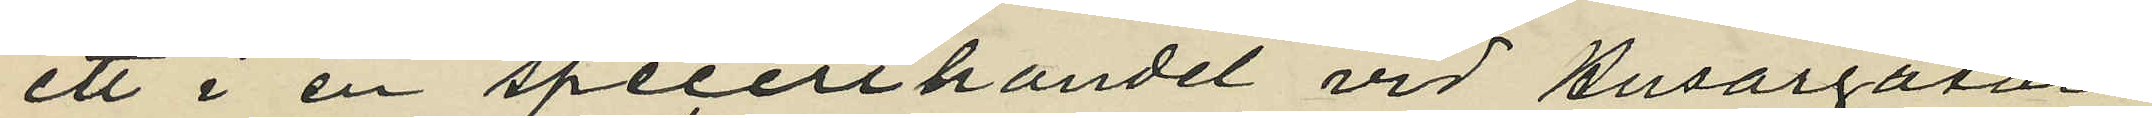ett i en specerihandel vid Husargatan
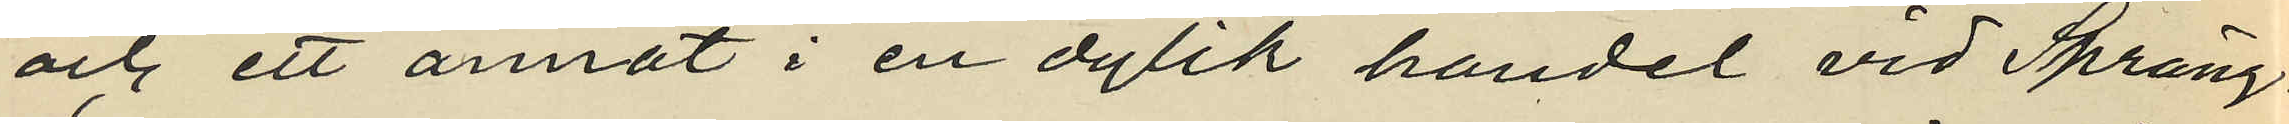och ett annat i en dylik handel vid Spräng¬
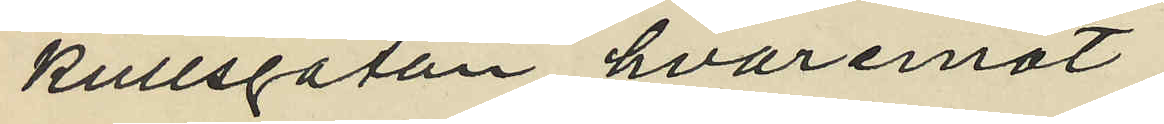kullsgatan, hvaremot
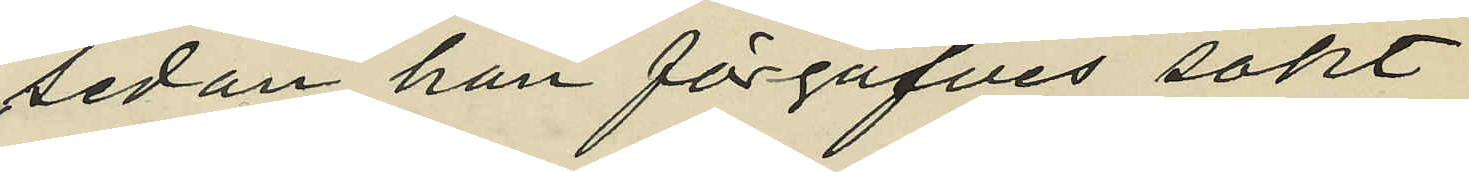sedan han förgäfves sökt
